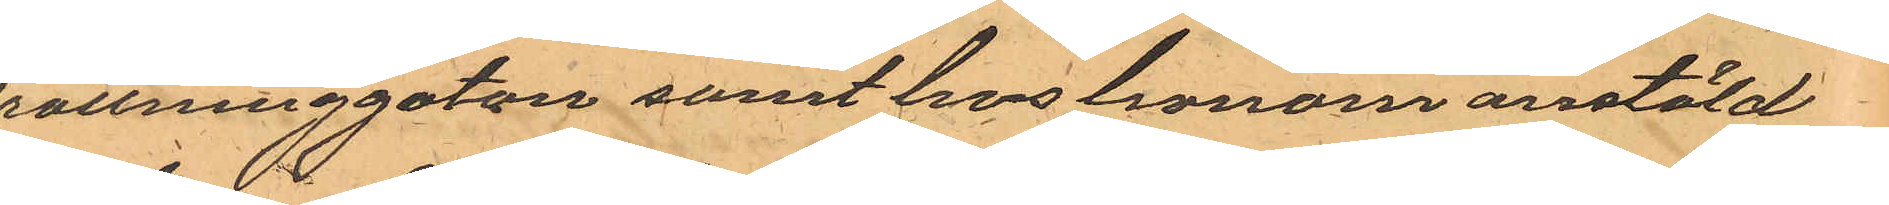Drottninggatan samt hos honom anstäld
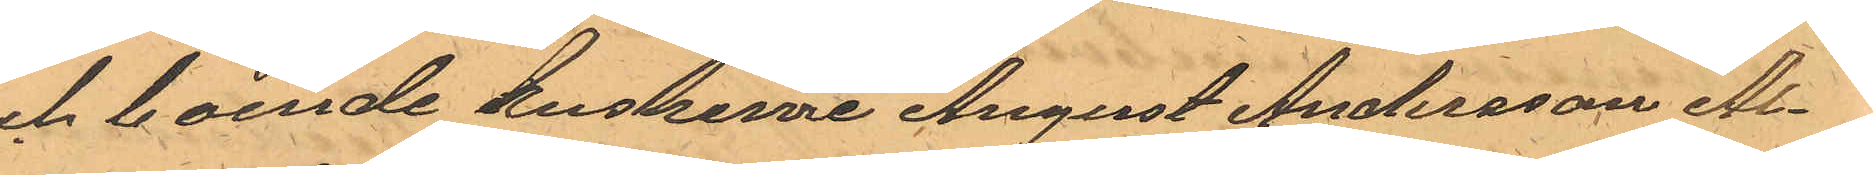och boende kuskerne August Andersson Al¬
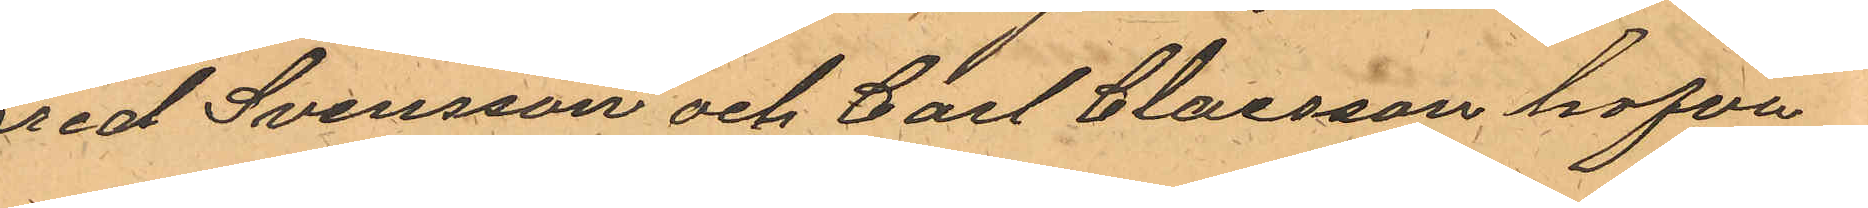fred Svensson och Carl Claesson hafva
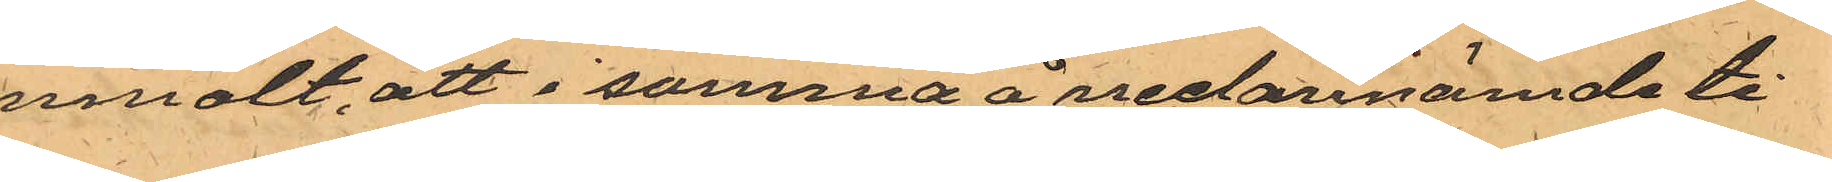anmält, att i samma å nedannämde ti¬
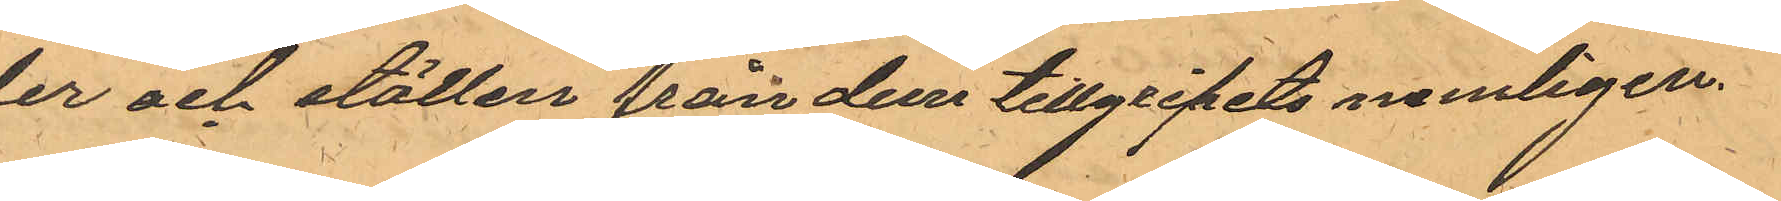der och ställen från dem tillgripits nemligen
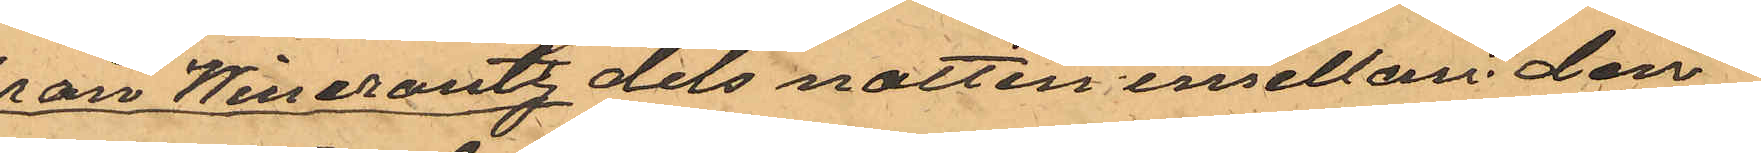från Wincrantz dels natten emellan den
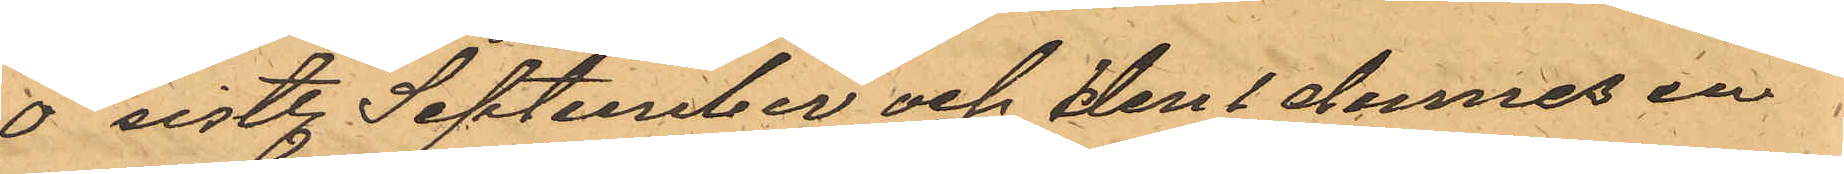30 sistl. September och den 1 dennes en
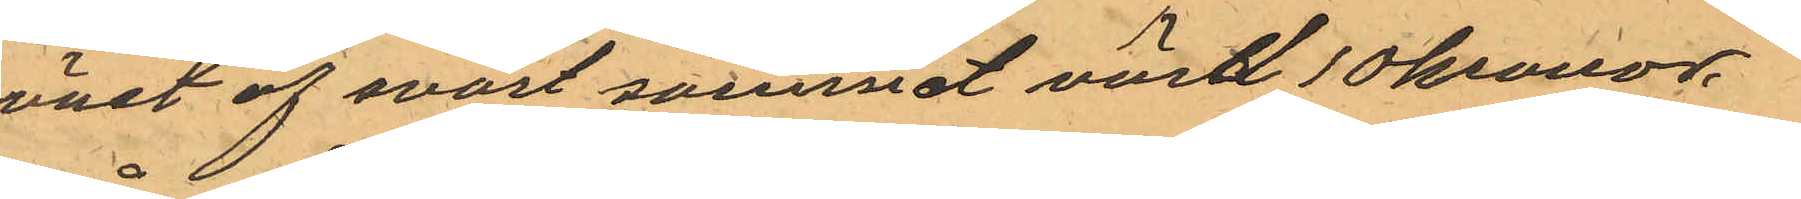wäst af svart sammet värd 10 kronor.
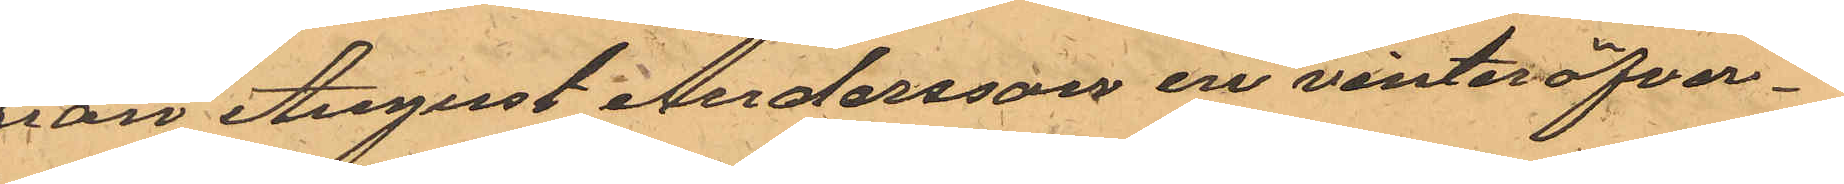från August Andersson en vinteröfver¬
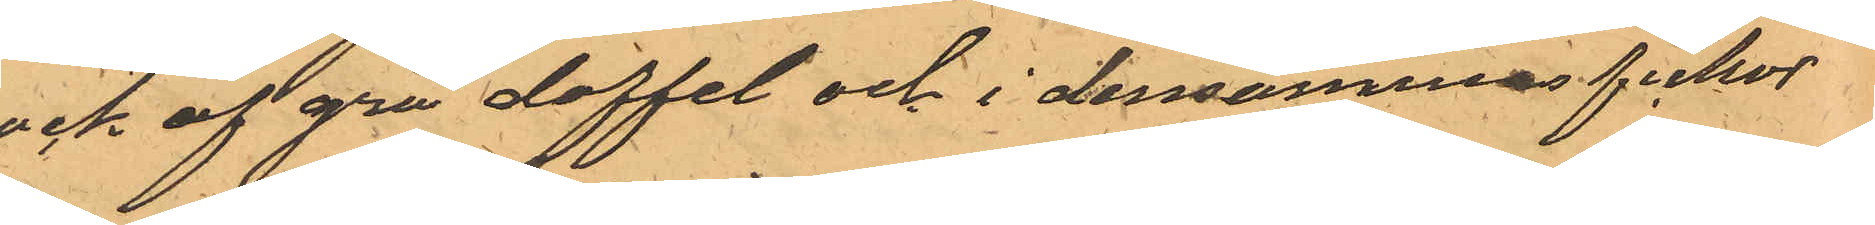rock af grå doffel och i densammas fickor
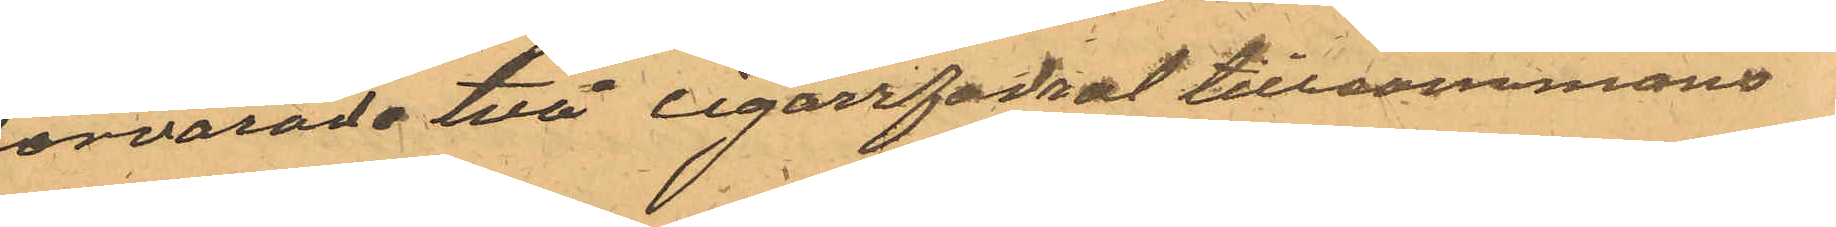förvarade två cigarrfodral tillsammans
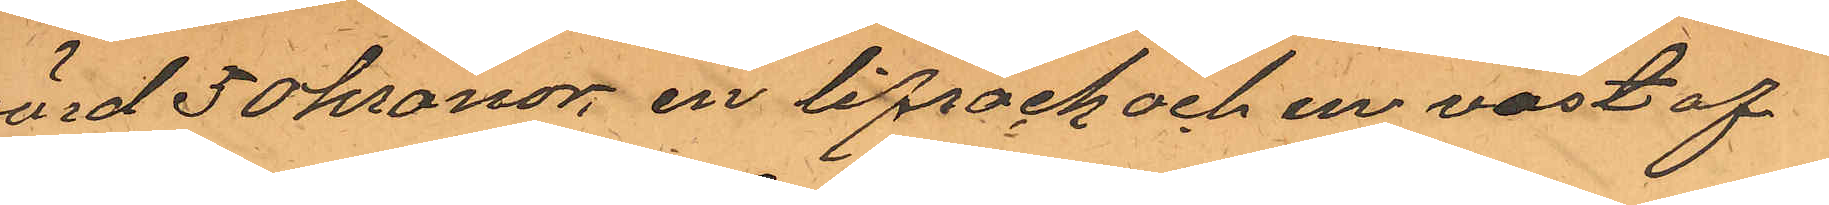värd 50kronor, en lifrock och en väst af
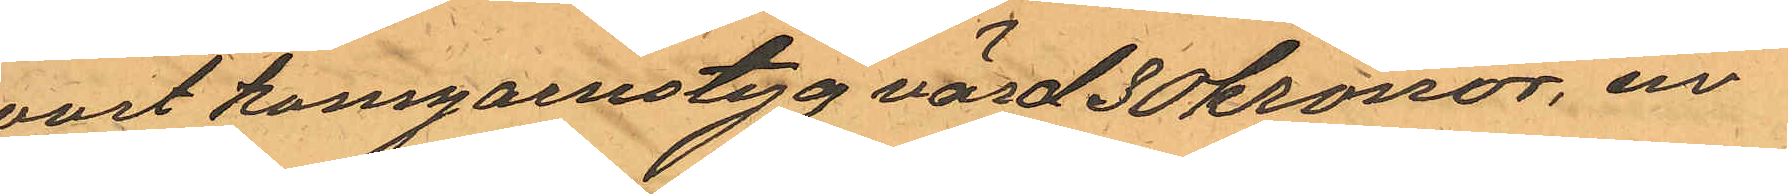svart kamgarnstyg värd 30 kronor, en
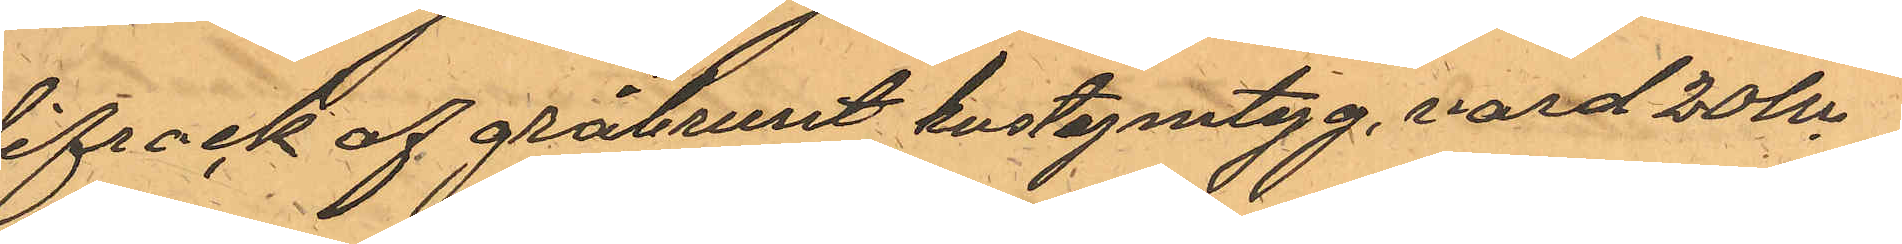lifrock af gråbrunt kostymtyg, värd 20 kr,
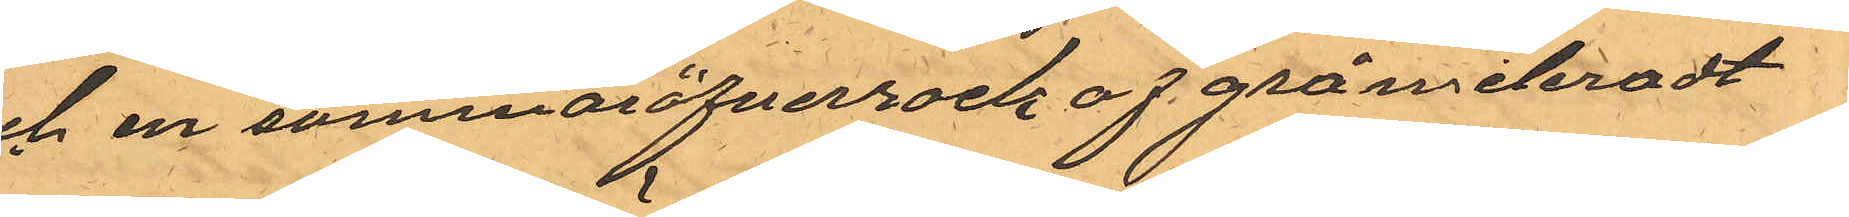och en sommaröfverrock af grå meleradt
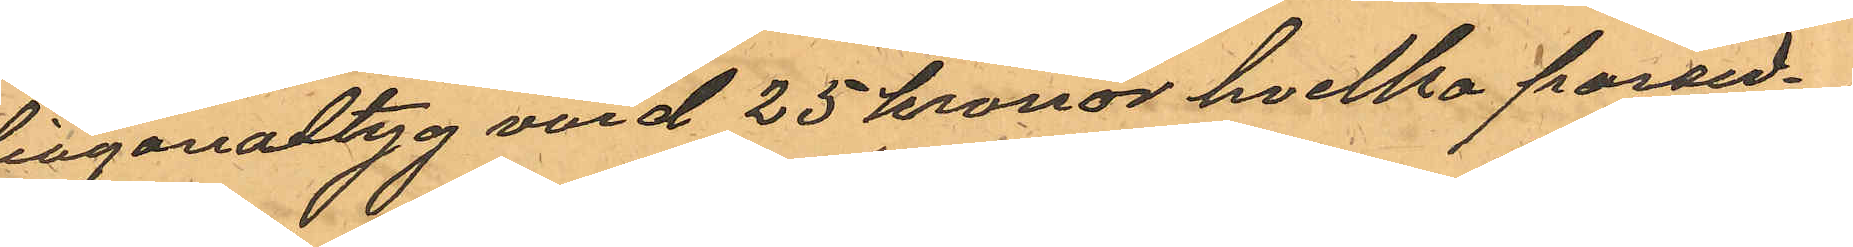diagonaltyg värd 25 kronor hvilka persed¬
